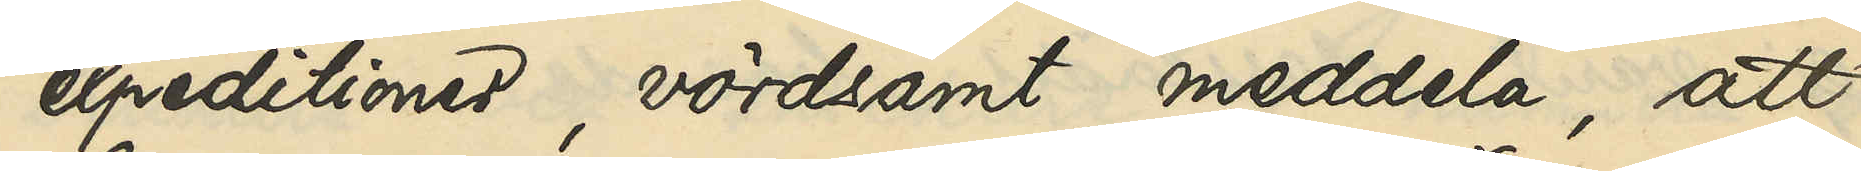expeditioner, vördsamt meddela, att
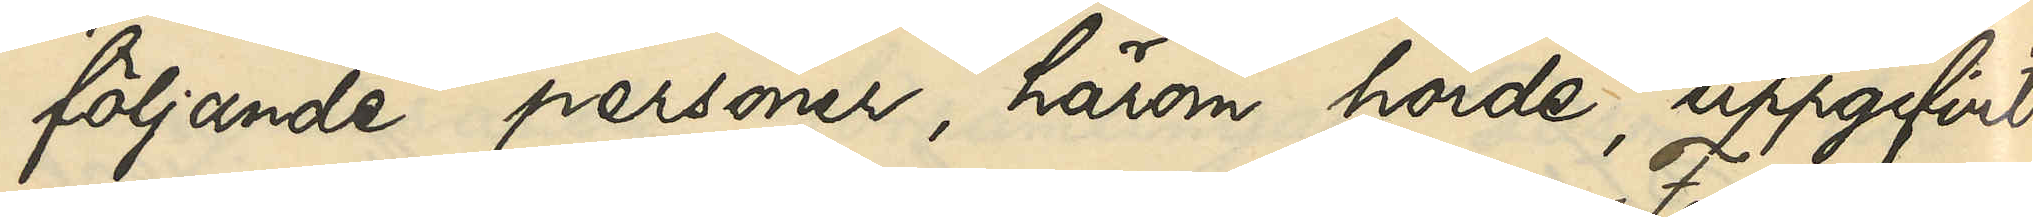följande personer, härom hörde, uppgifvit:
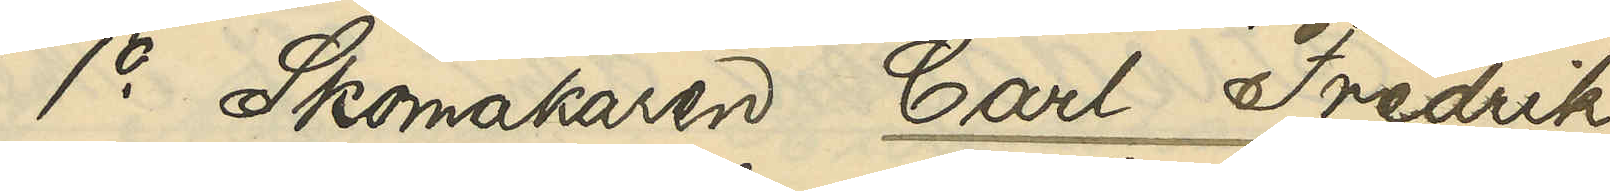1o Skomakaren Carl Fredrik
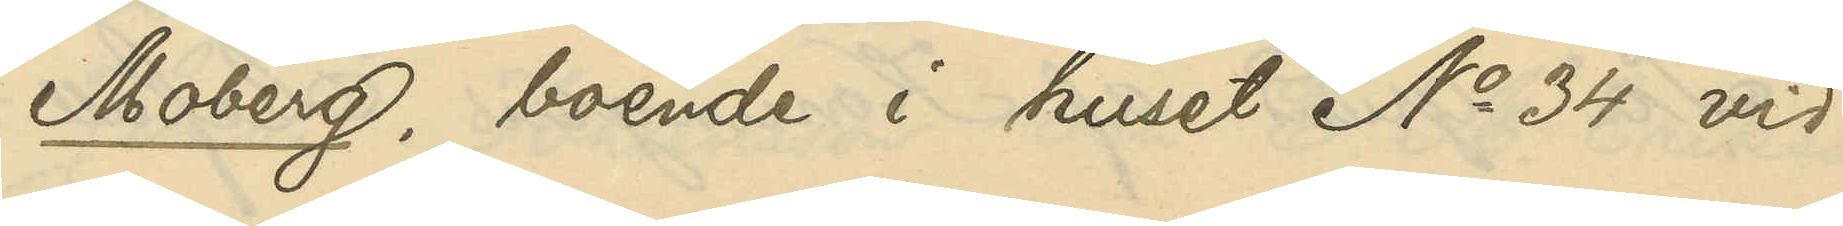Moberg, boende i huset No 34 vid
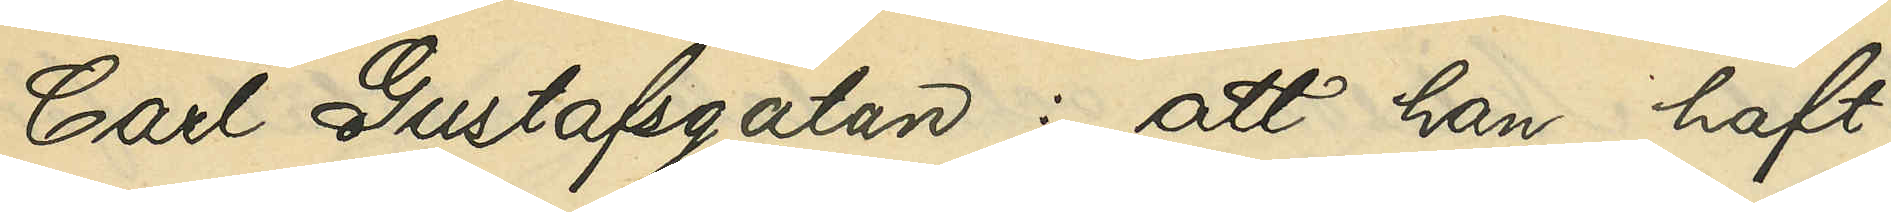Carl Gustafsgatan: att han haft
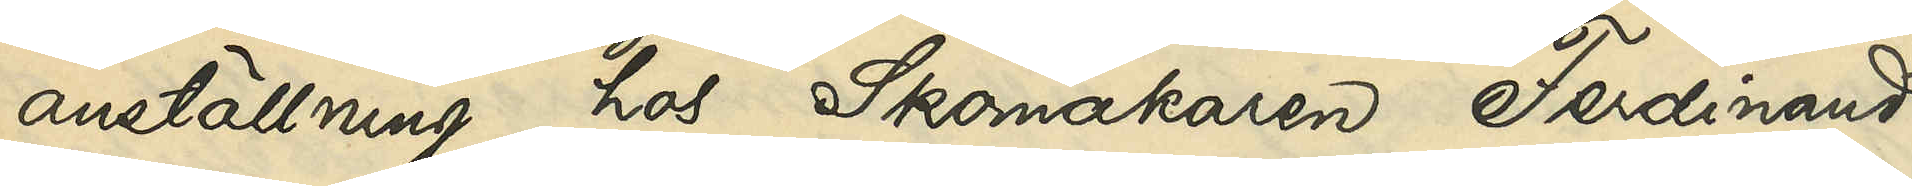anställning hos Skomakaren Ferdinand
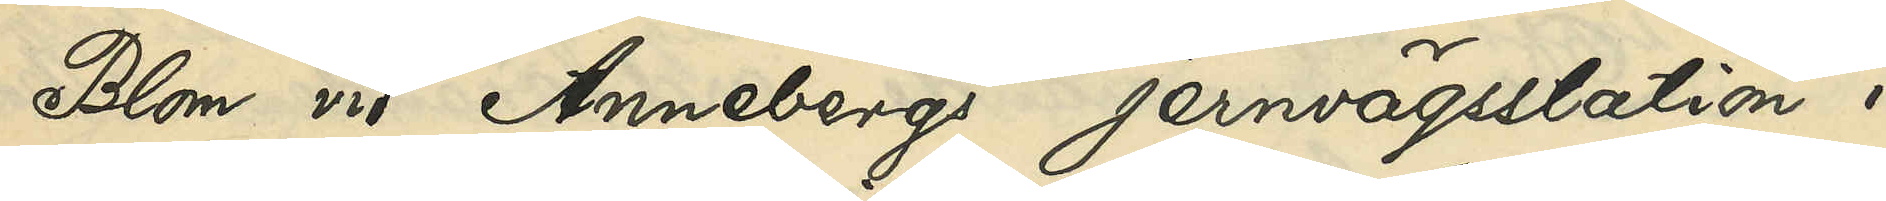Blom vid Annebergs jernvägsstation i
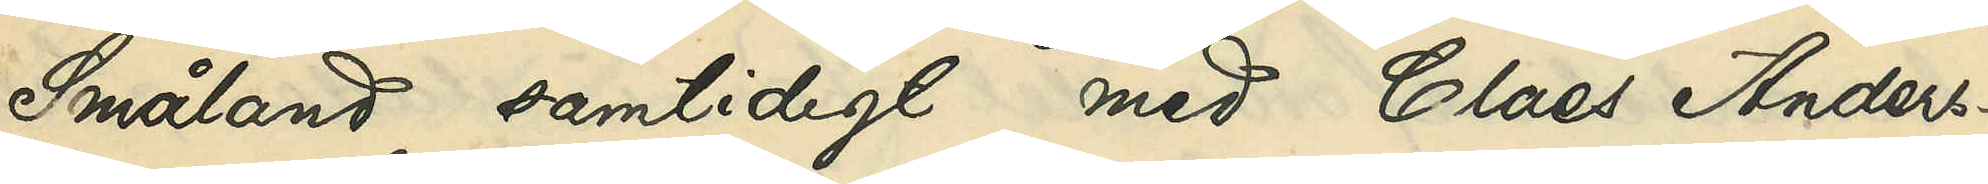Småland samtidigt med Claes Anders¬
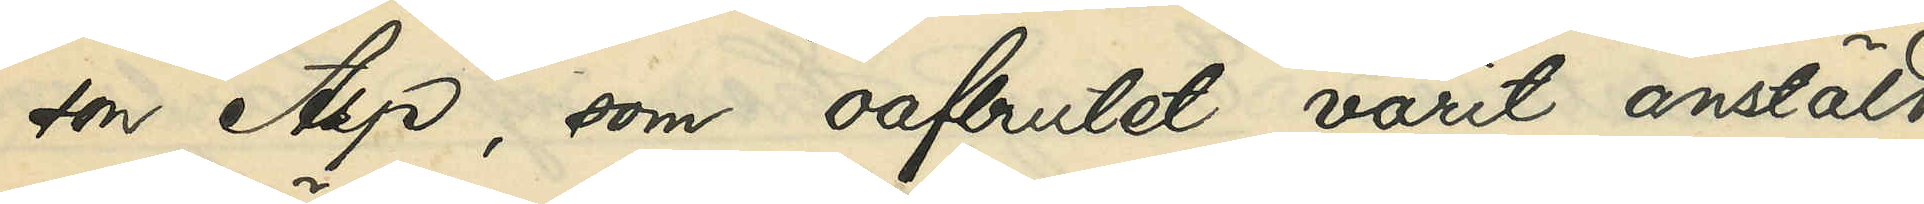son Asp, som oafbrutet varit anstäld
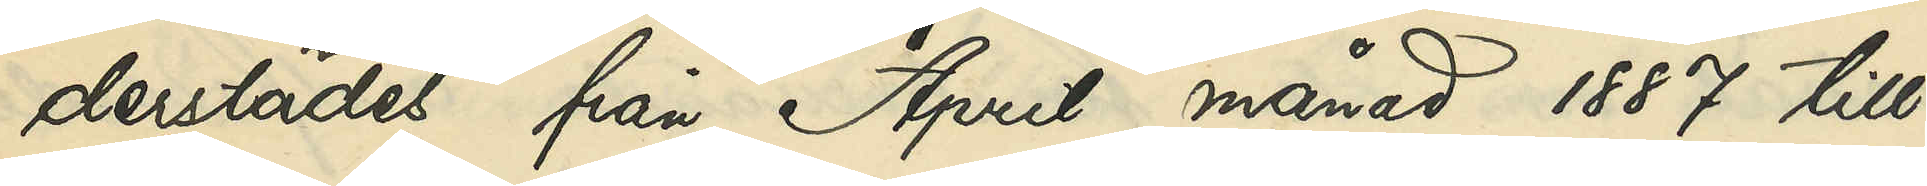derstädes från April månad 1887 till
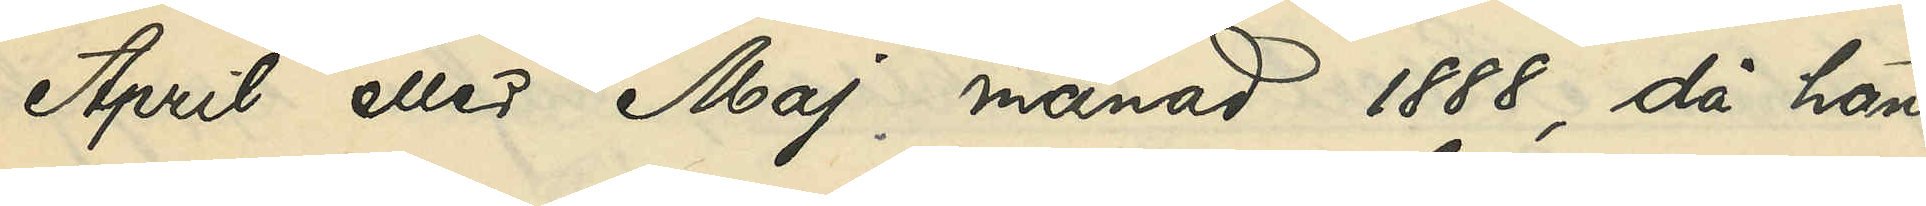April eller Maj månad 1888, då han
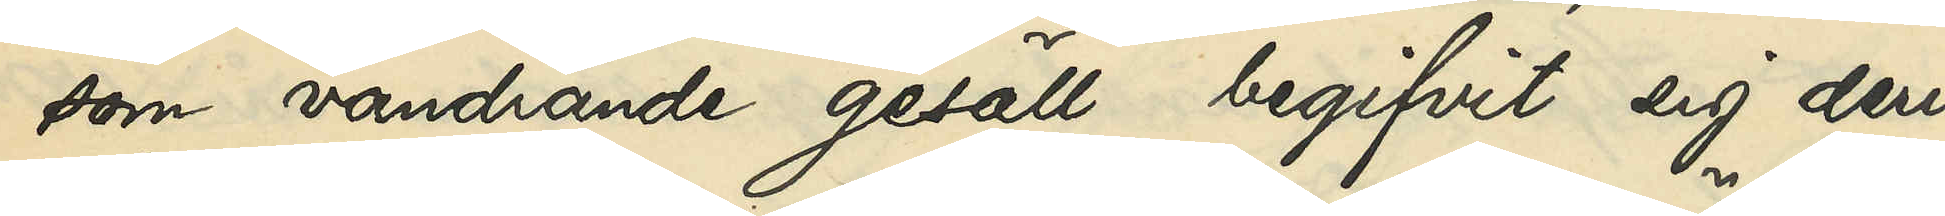som vandrande gesäll begifvit sig deri¬
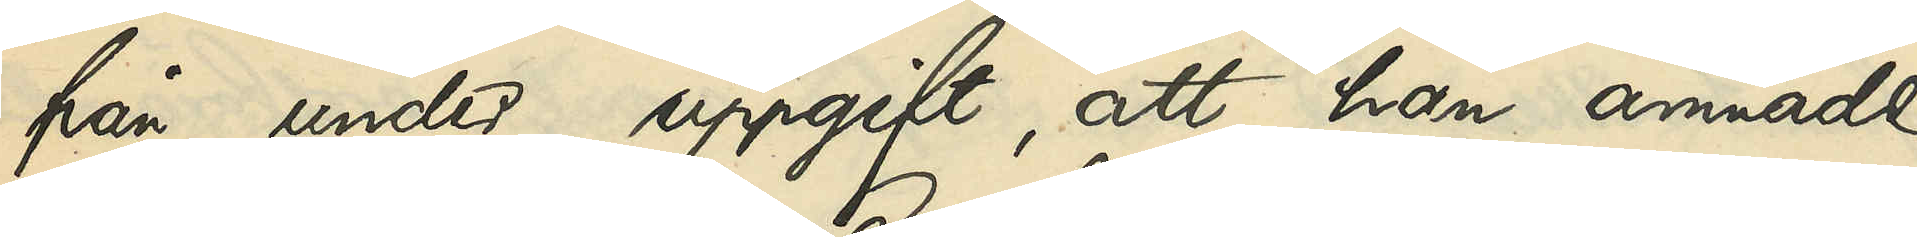från under uppgift, att han ämnade
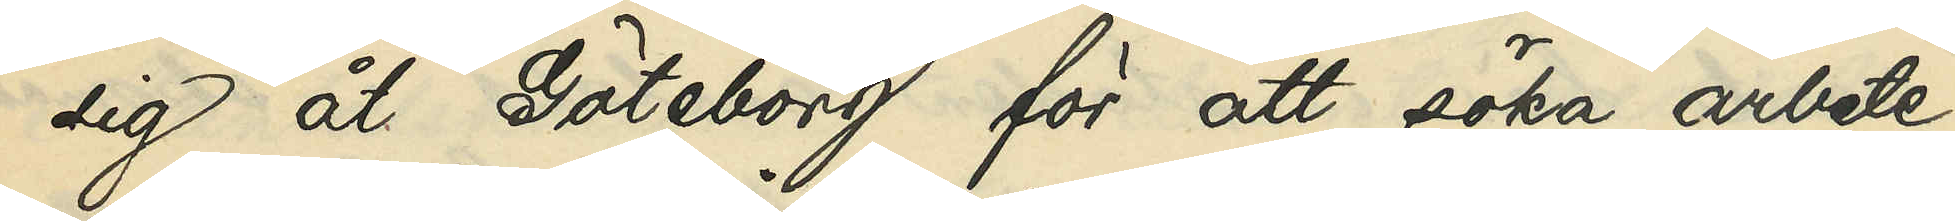sig åt Göteborg för att söka arbete;
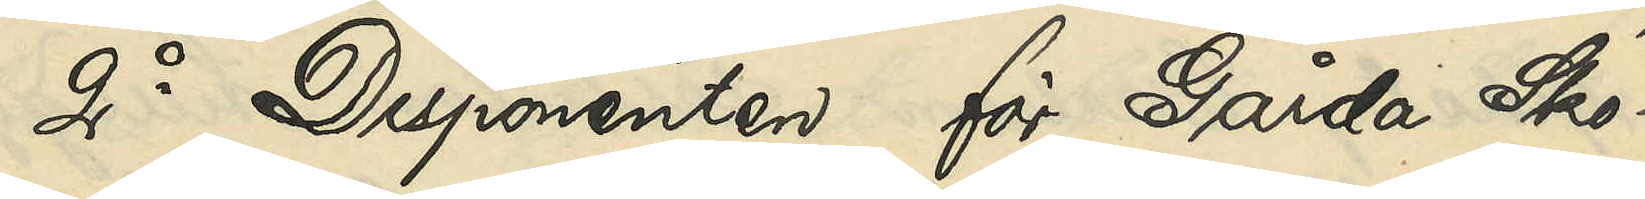2o Disponenten för Gårda Sko¬
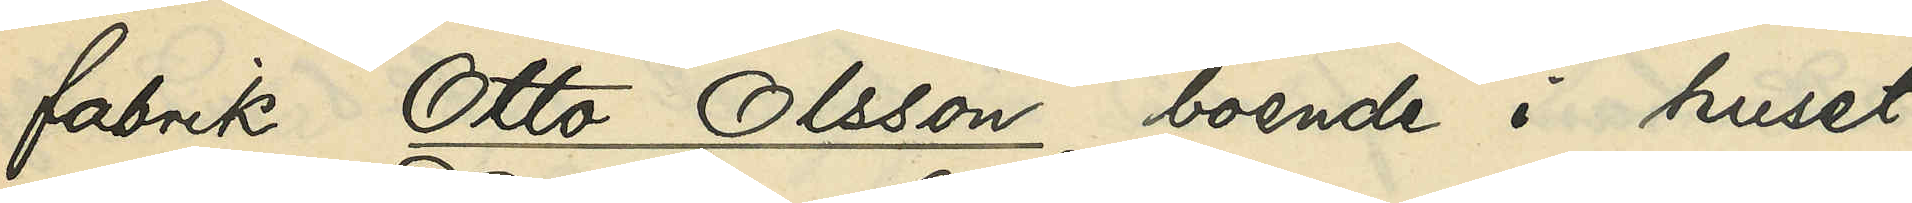fabrik Otto Olsson, boende i huset
